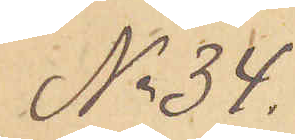No 34.
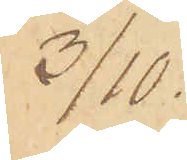3/10.
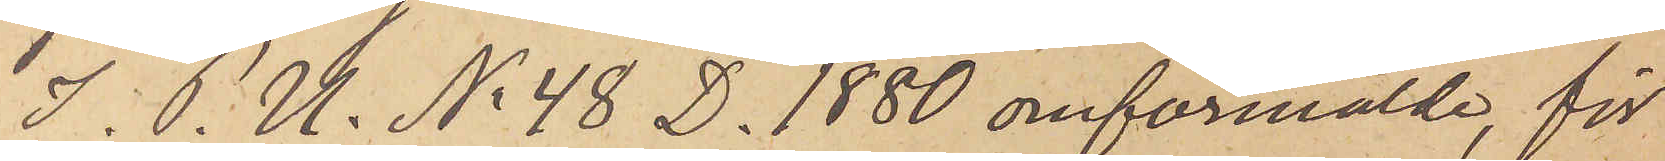I. P. U. No 48 D. 1880 omförmälde, för
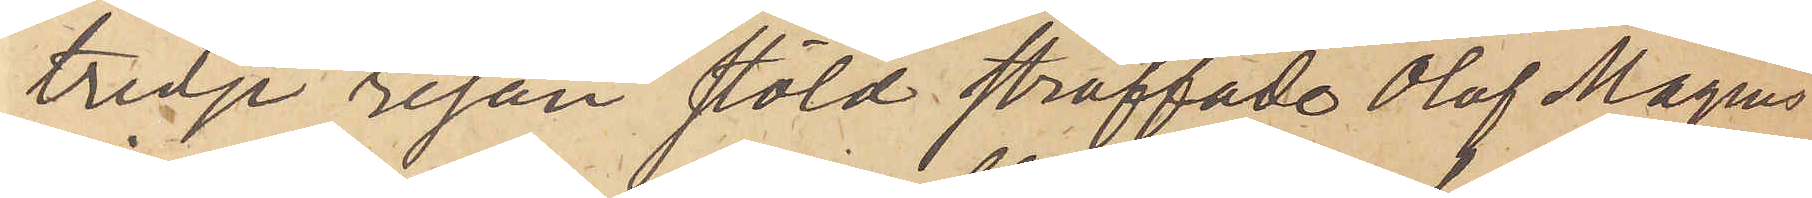tredje resan stöld straffade Olof Magnus
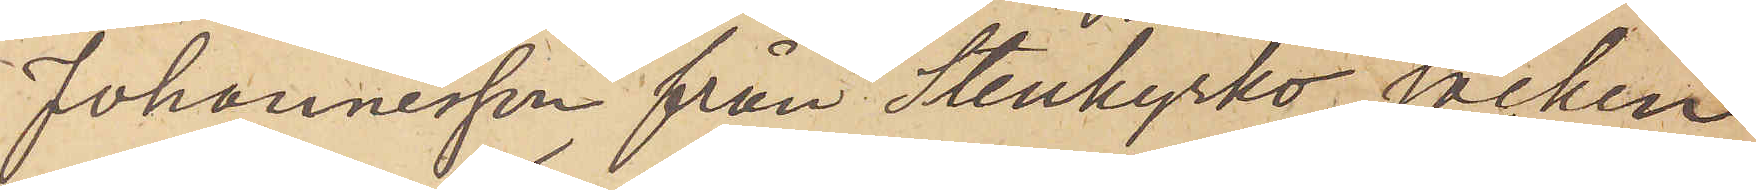Johannesson från Stenkyrko socken
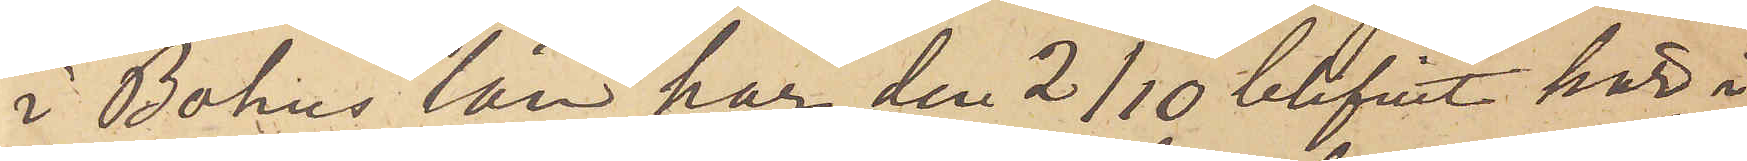i Bohus län har den 2/10 blifvit här i
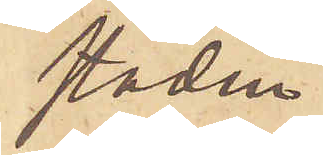staden
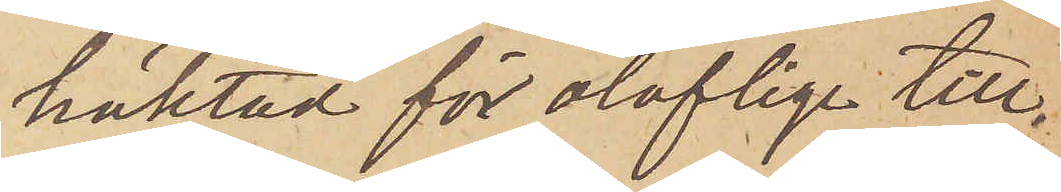häktad för oloflige till¬
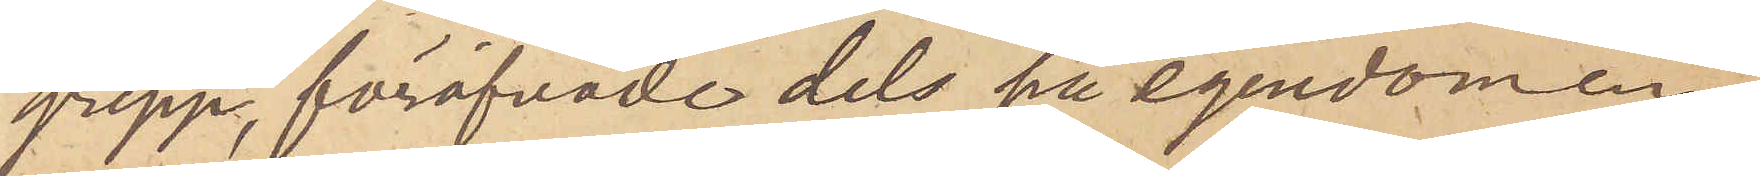grepp, föröfvade dels på egendomen
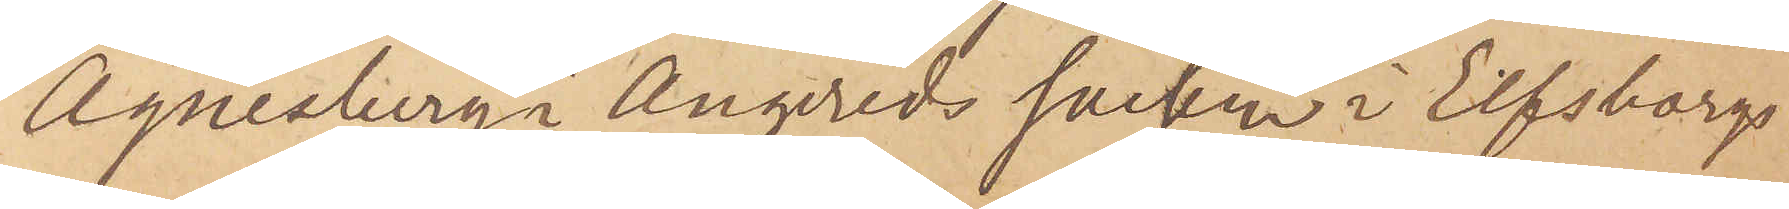Agnesberg i Angereds socken i Elfsborgs
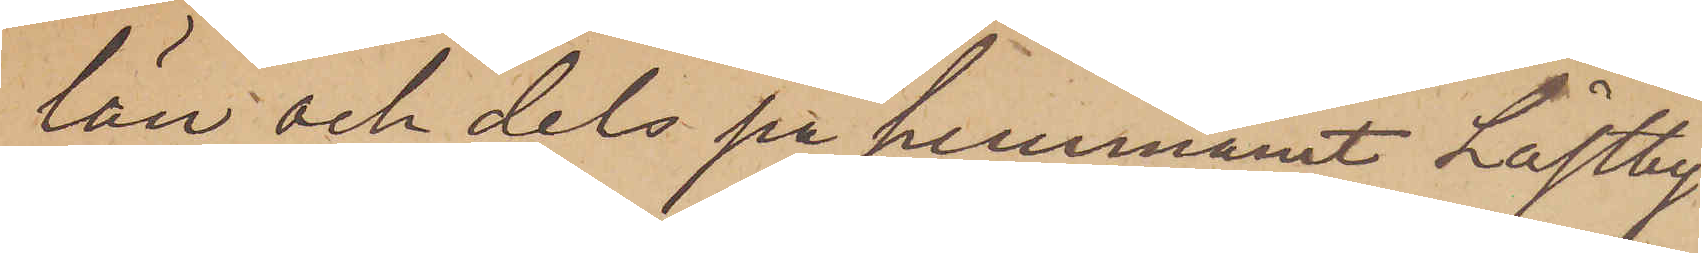län och dels på hemmanet Låstby
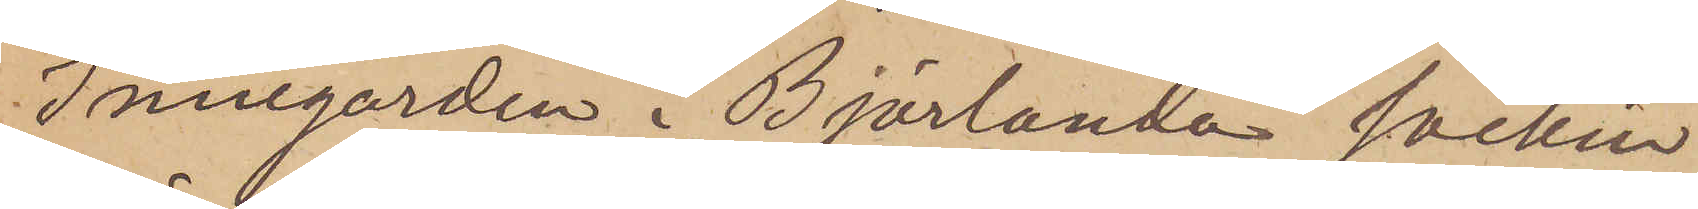Innegården i Björlanda socken
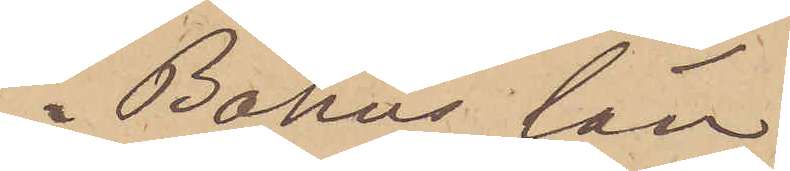i Bohus län.
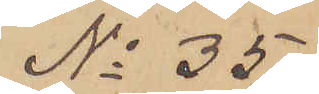No 35.
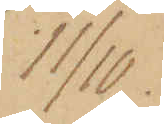11/10.
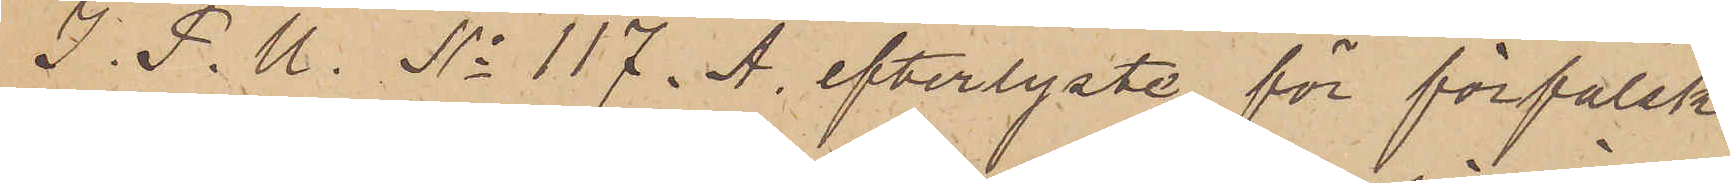I. P. U. No 117. A. efterlyste, för förfalsk¬
